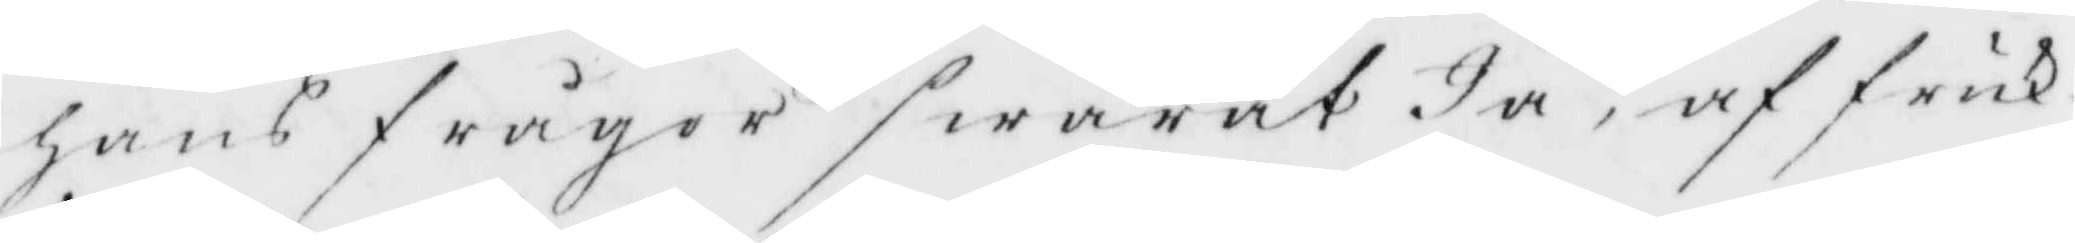hans frågor swarat Ja, af fruk¬
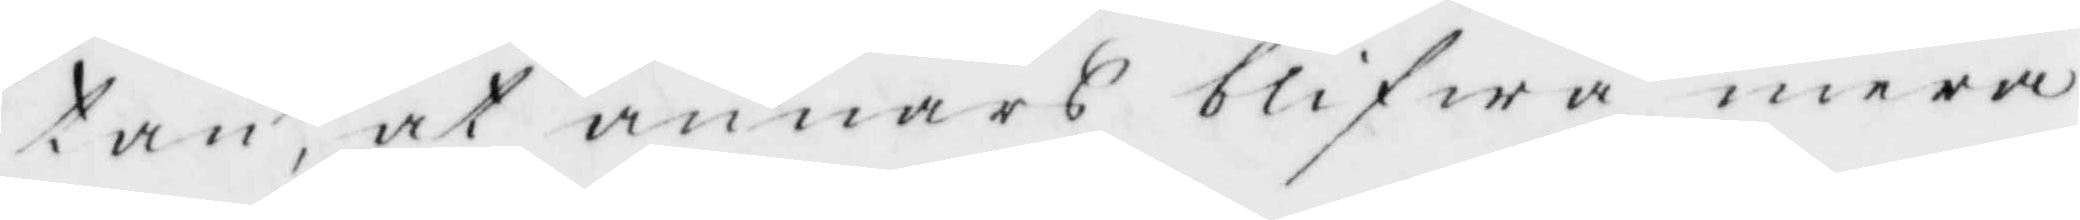tan, at annars blifwa mera
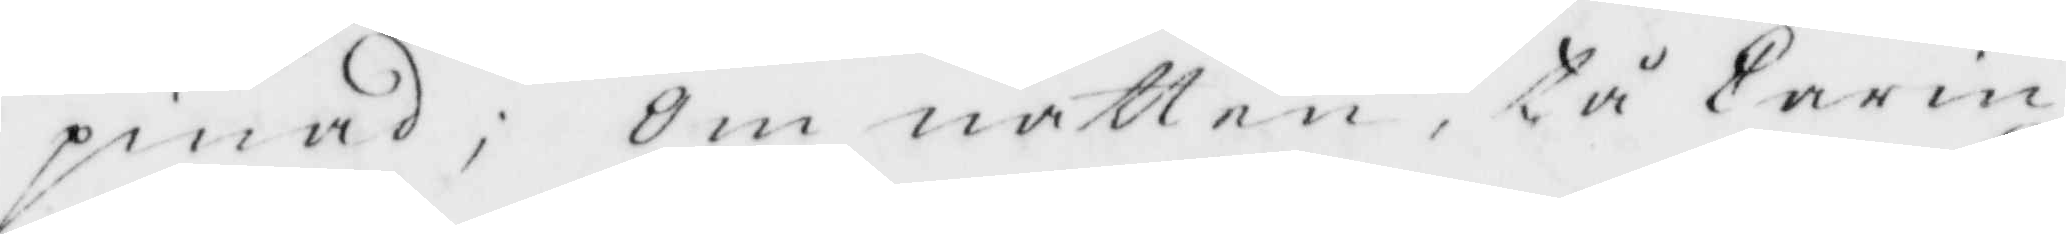pinad; Om natten, tå Carin
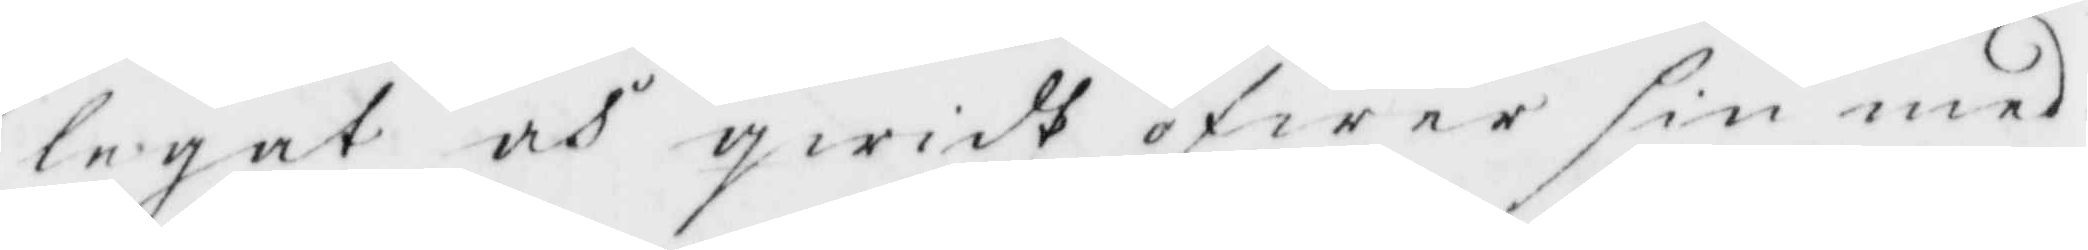legat och qwidt öfwer sin med¬
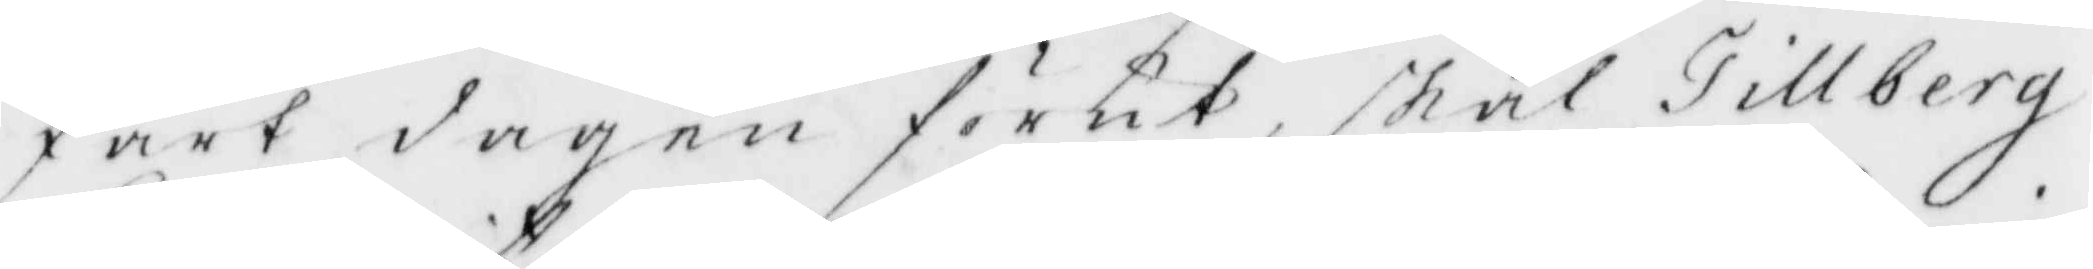fart dagen förut, skal Tillberg
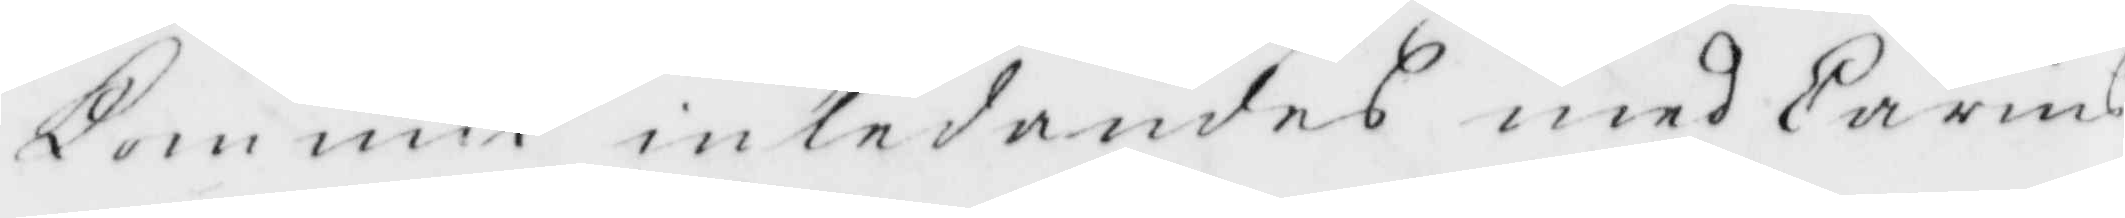Kommit inlednades med Carins
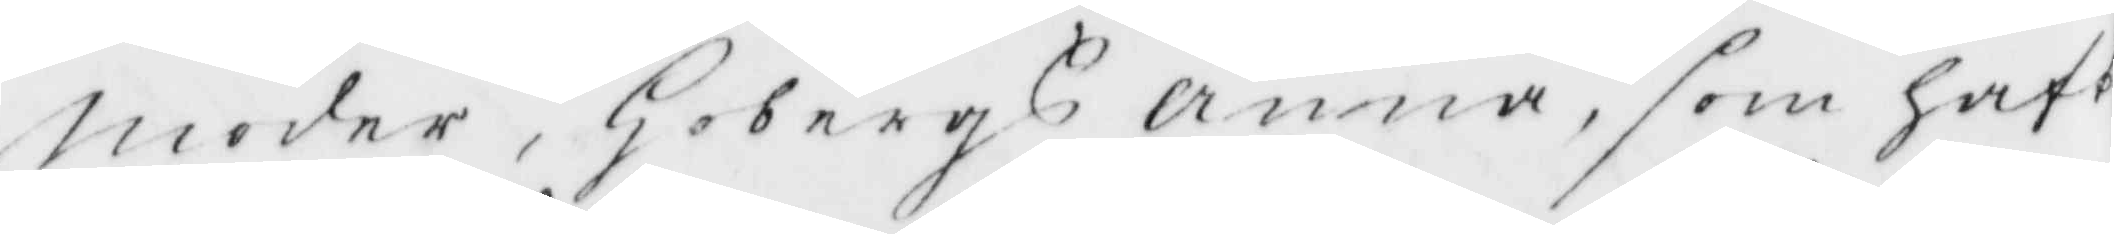moder, Hobergs Anna, som haft
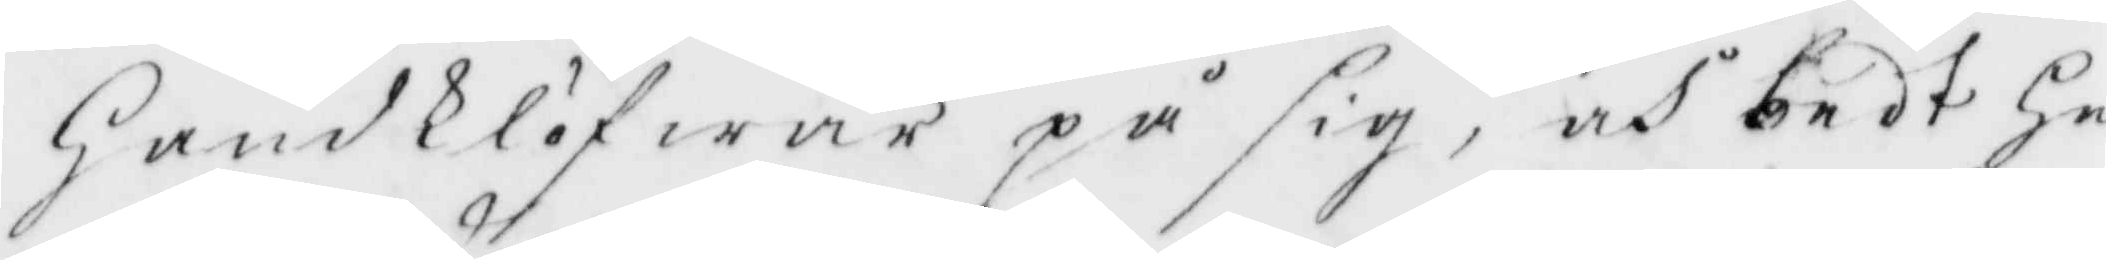handklöfwar på sig, och bedt he¬
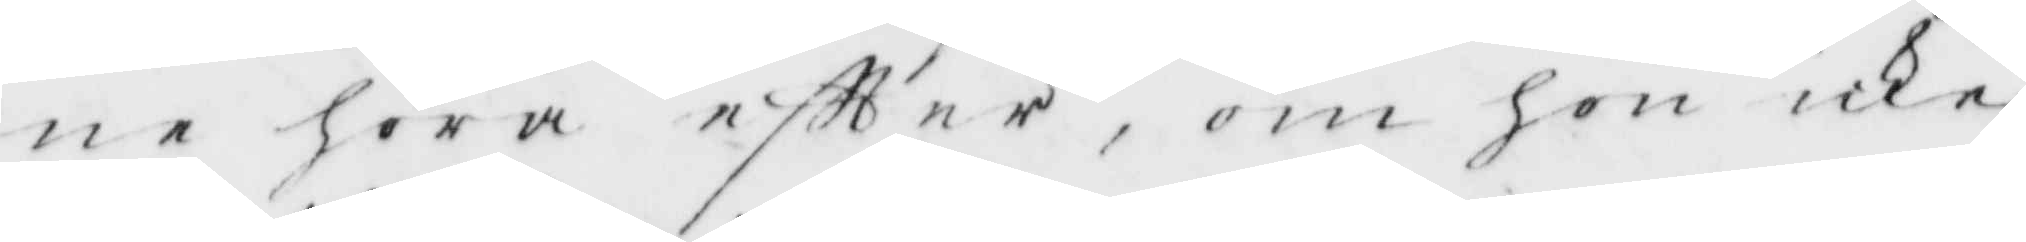ne höra eftter, om hon icke
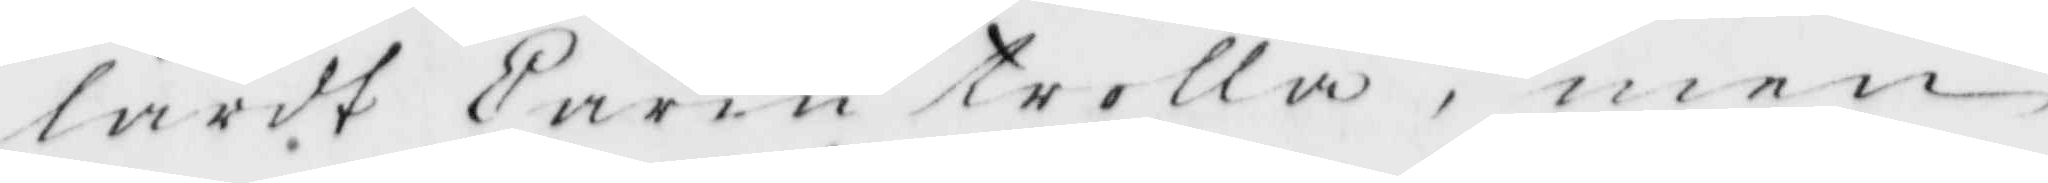lärdt Carin trolla, men
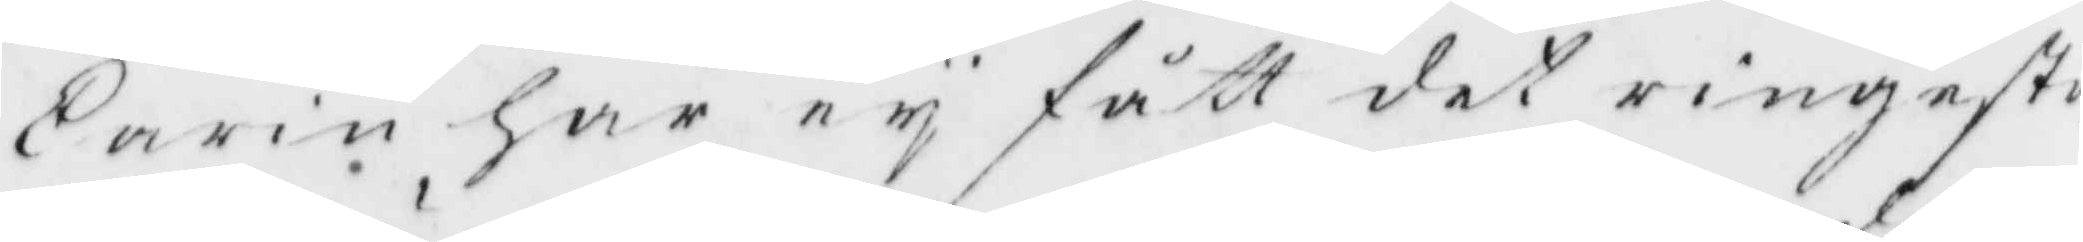Carin har ey fått det ringaste
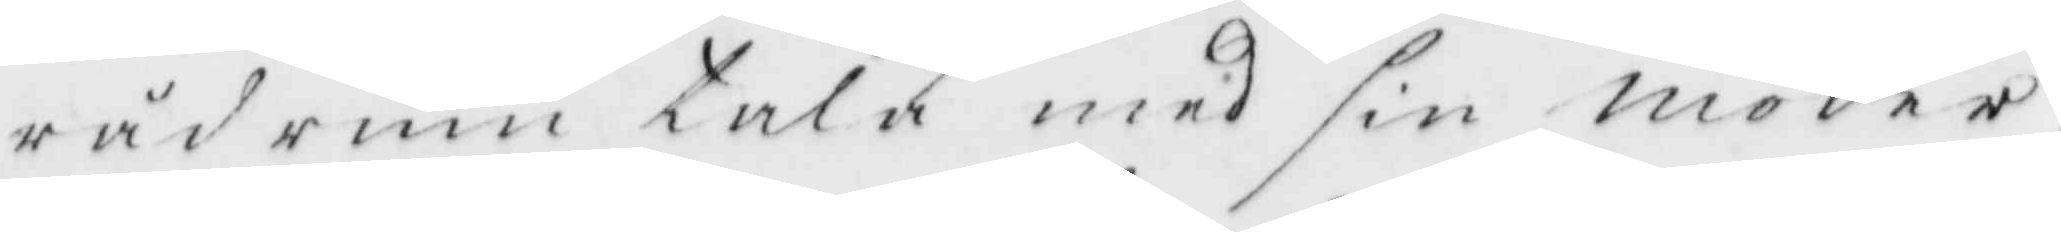rådrum tala med sin moder
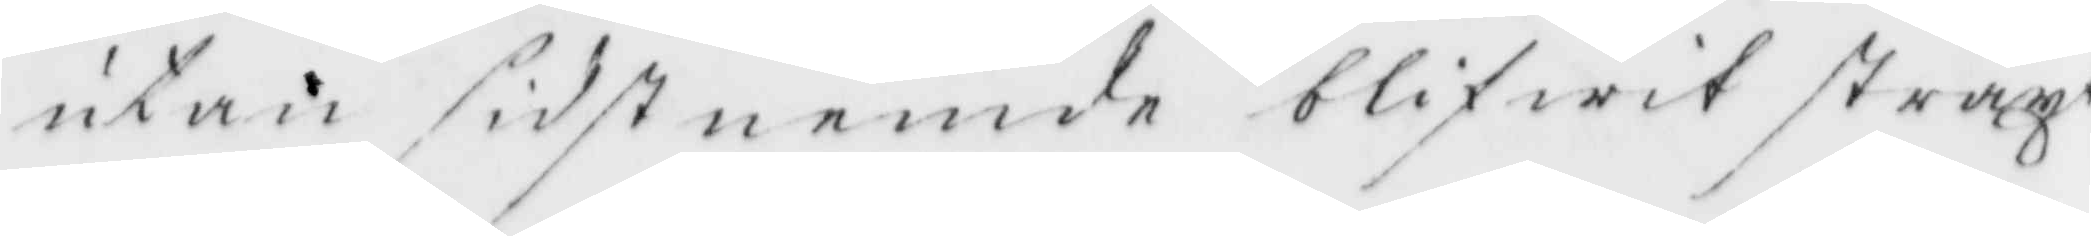utan sidstnemde blifwit straxt
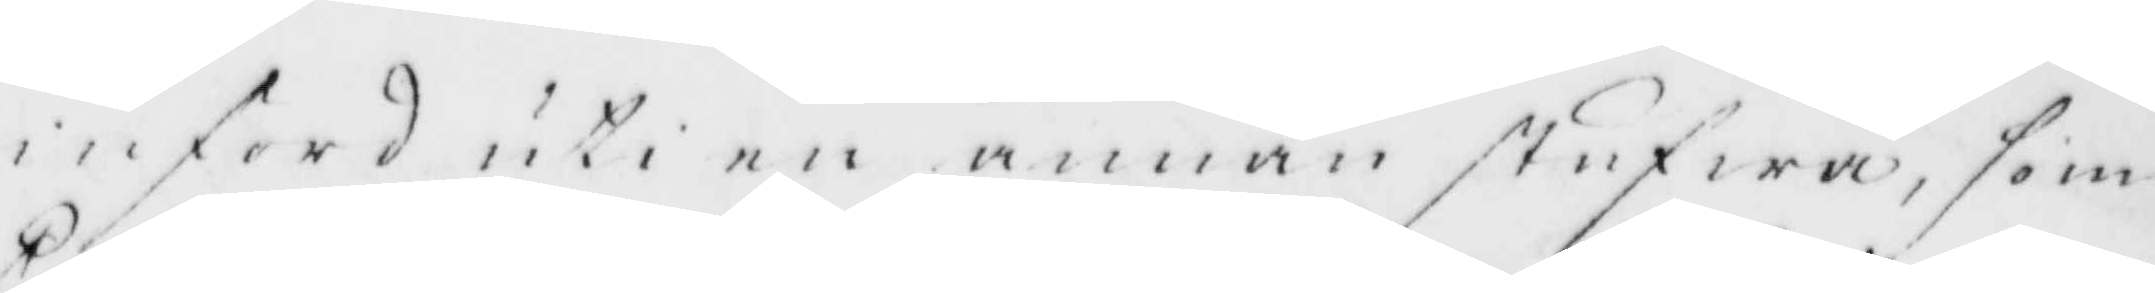inford uti en annan stufwa, som
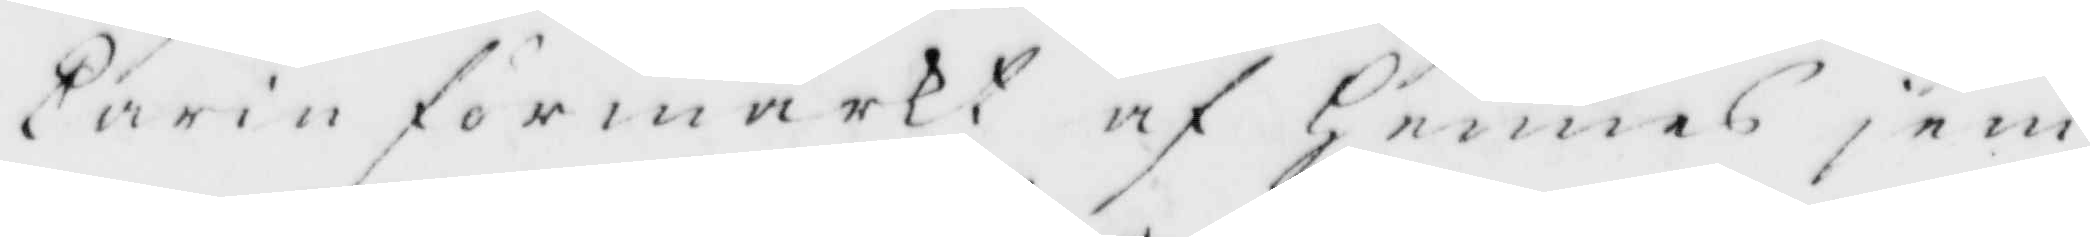Carin förmärkt af Hennes jem¬
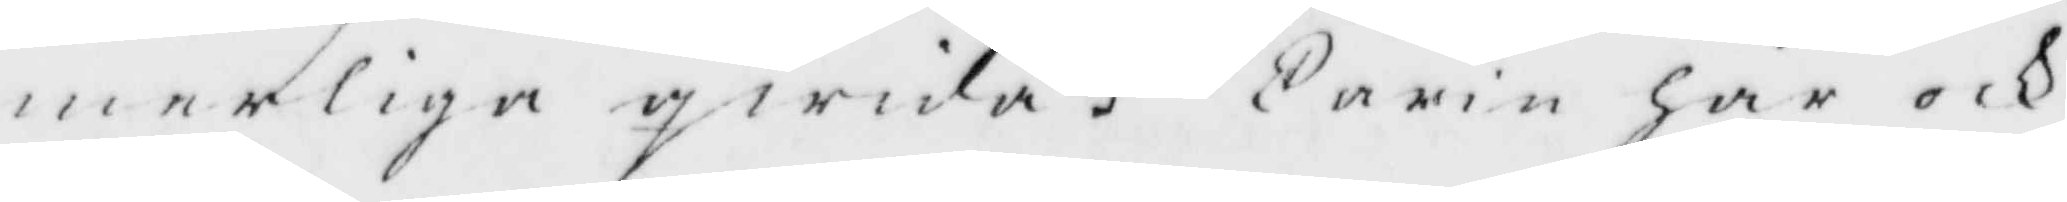merliga qwida. Carin har och
